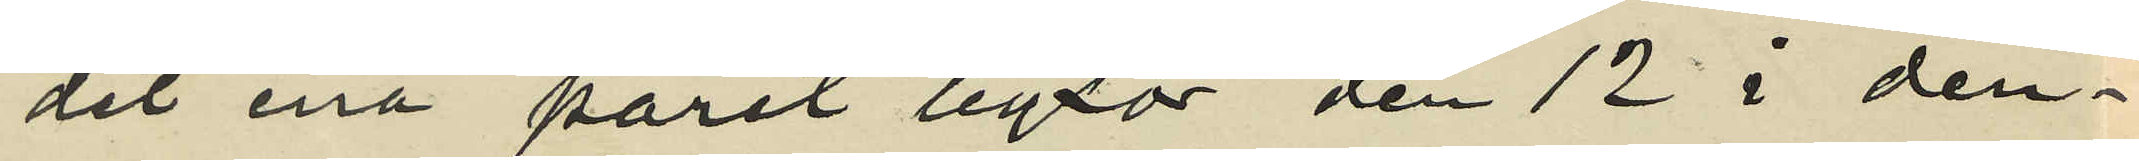det ena paret byxor den 12 i den¬
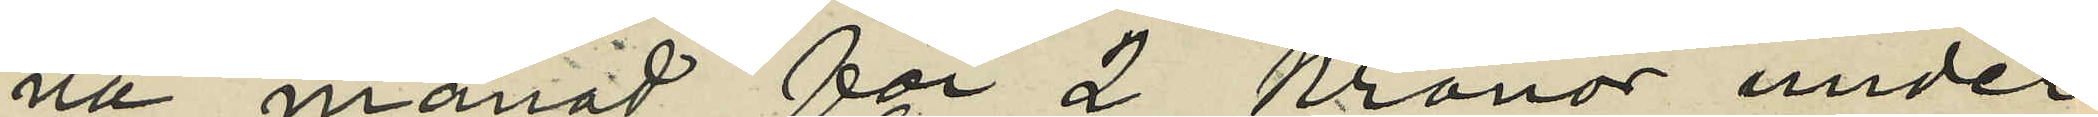na månad för 2 Kronor under
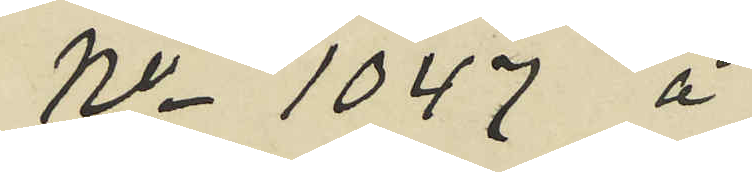No 1047 å
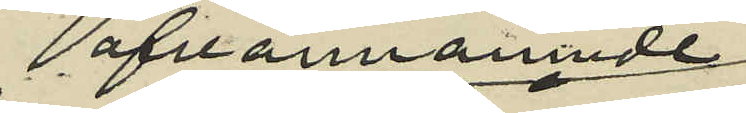ofvannämnde
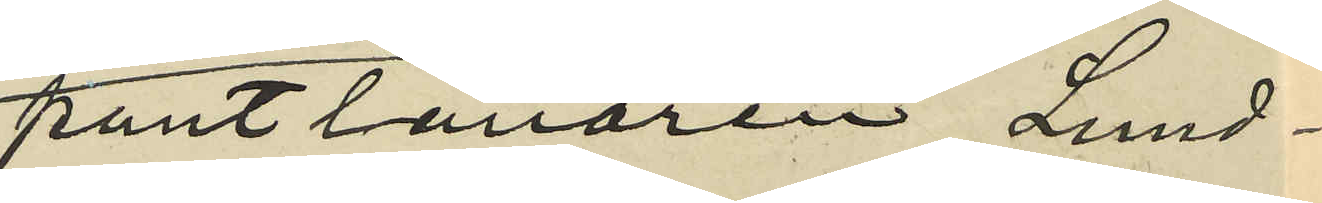pantlånaren Lund¬
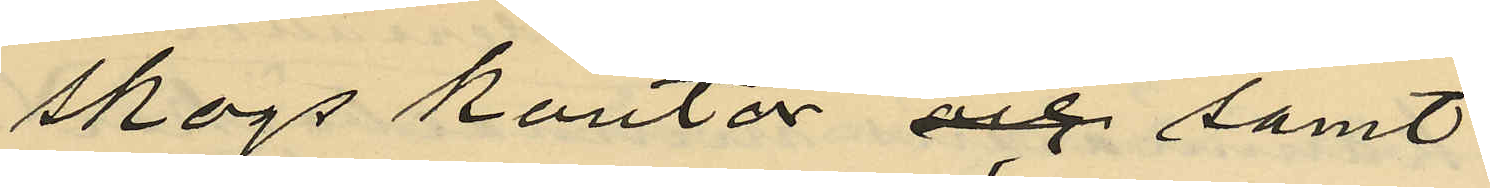skogs kontor och samt
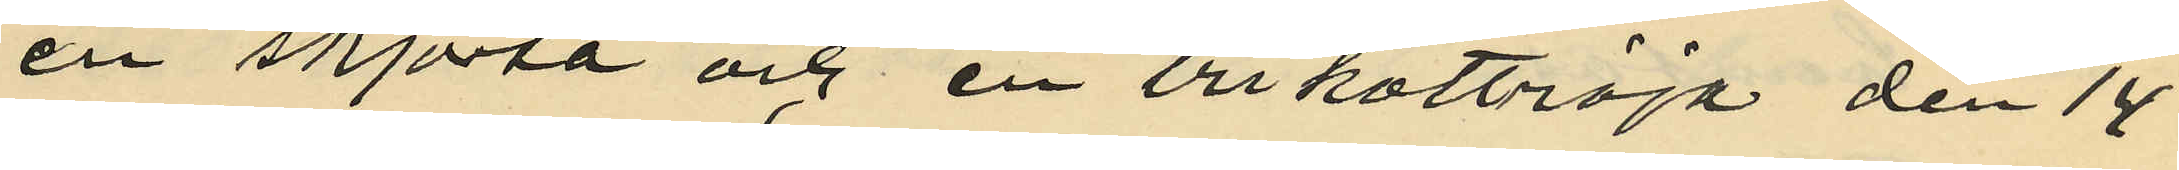en skjorta och en trikottröja den 14
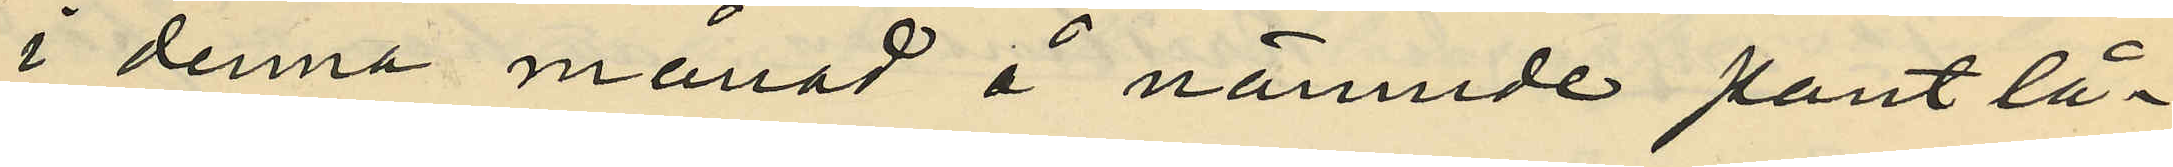i denna månad å nämnde pantlå¬
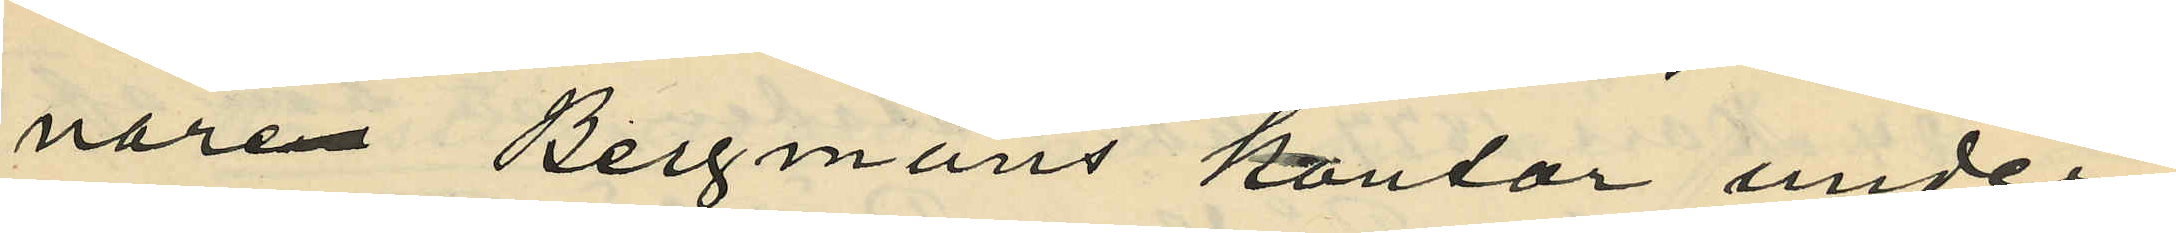nare Bergmans kontor under
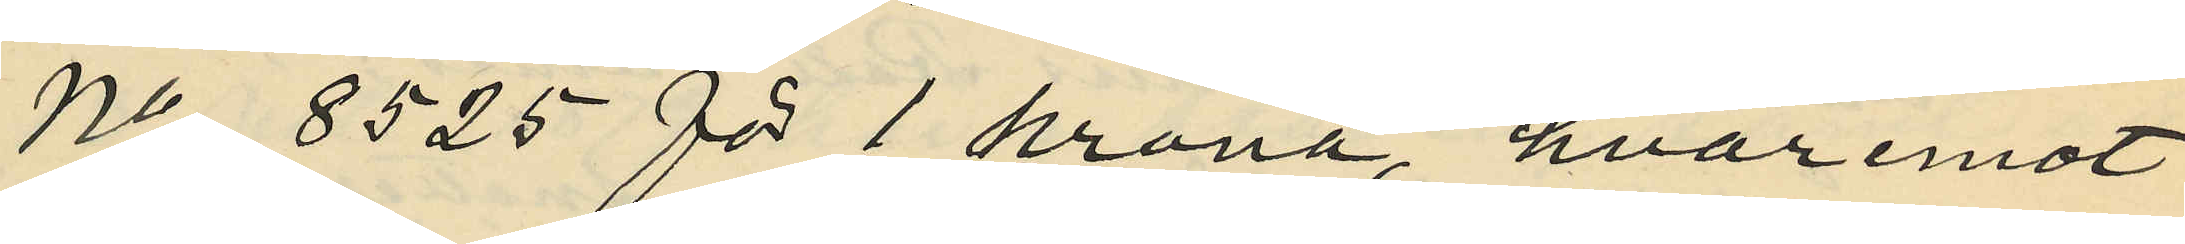No 8525 för 1 krona, hvaremot
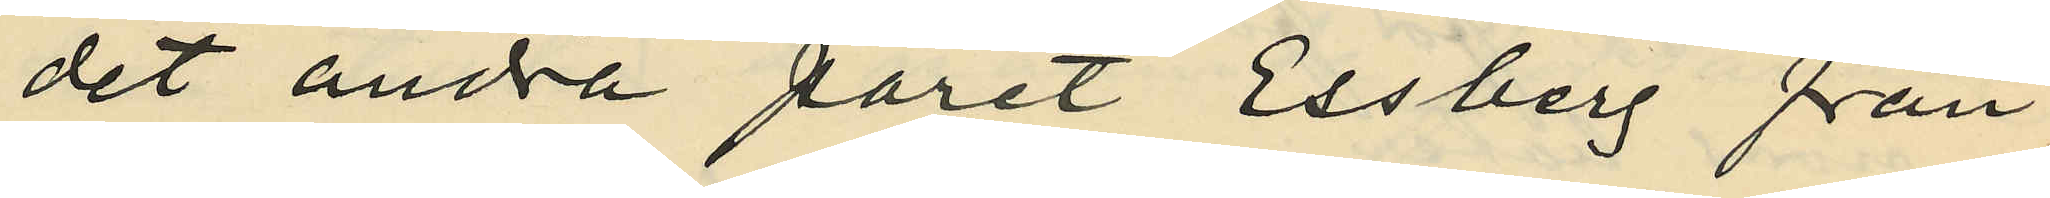det andra paret Essberg från¬
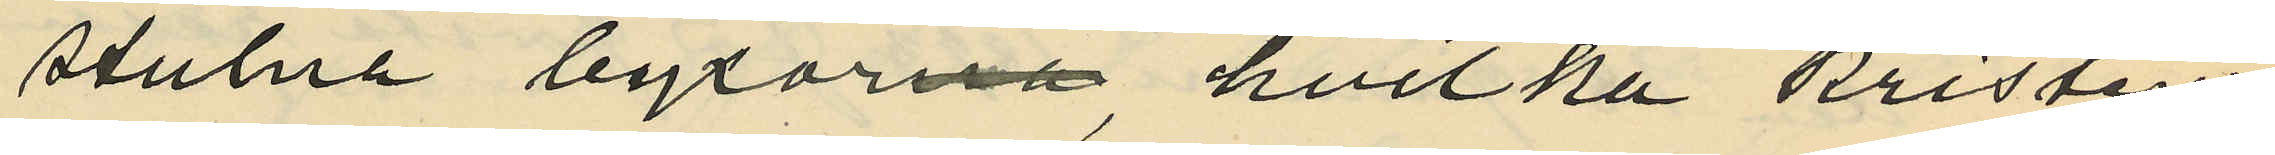stulna byxorna, hvilka Kristens¬
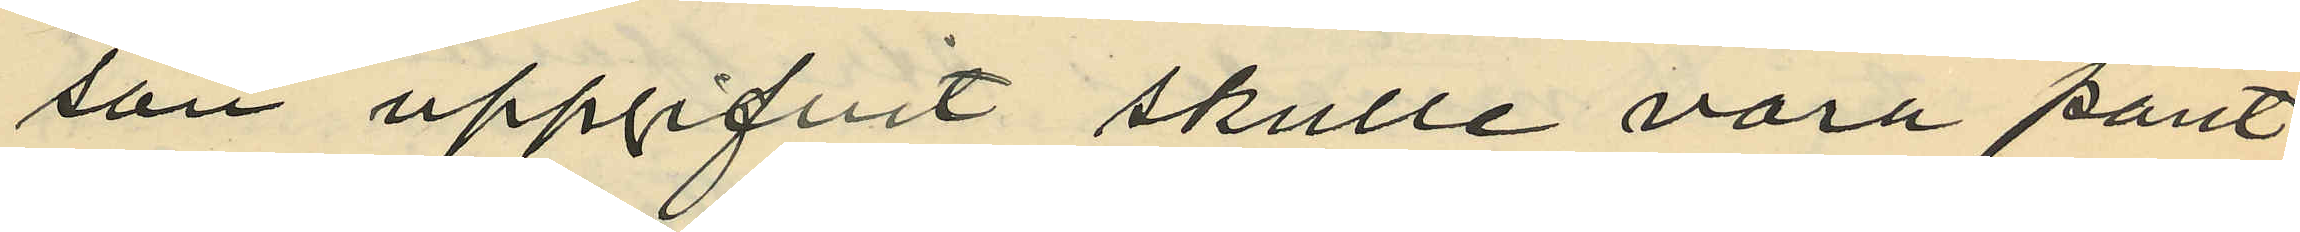son uppgifvit skulle vara pant¬
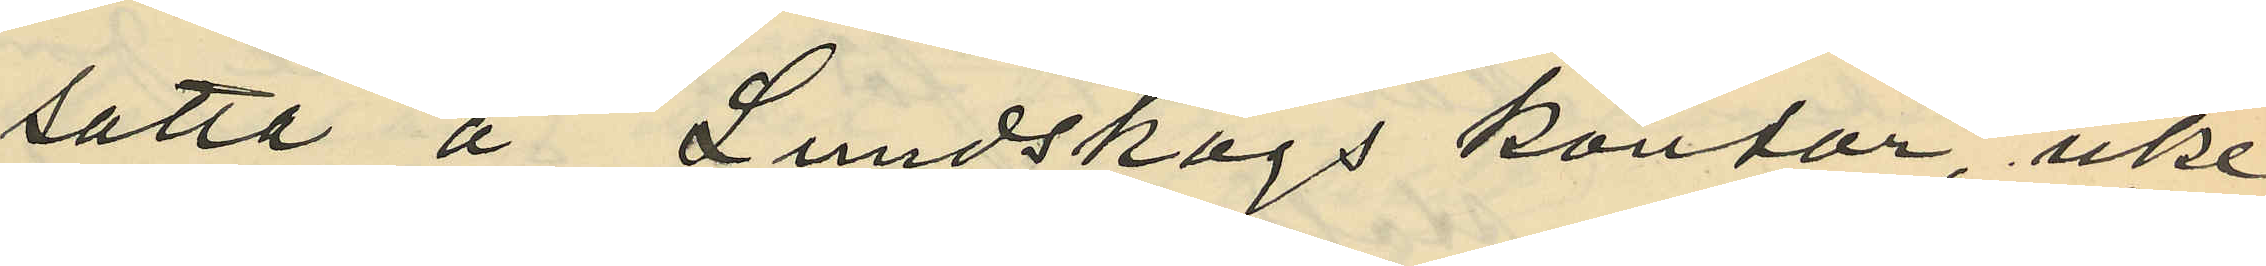satta å Lundskogs kontor, icke
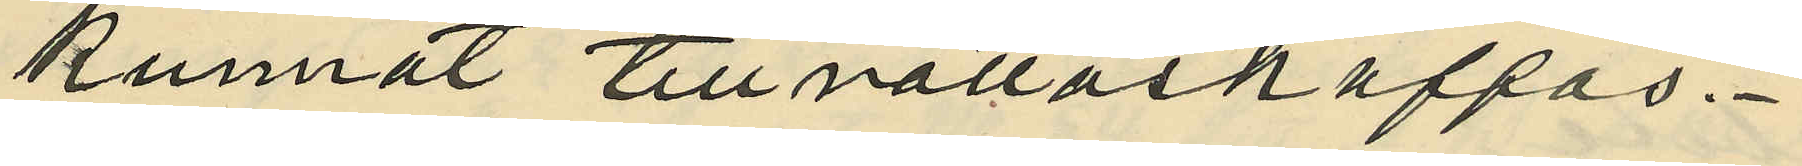kunnat tillrättaskaffas.
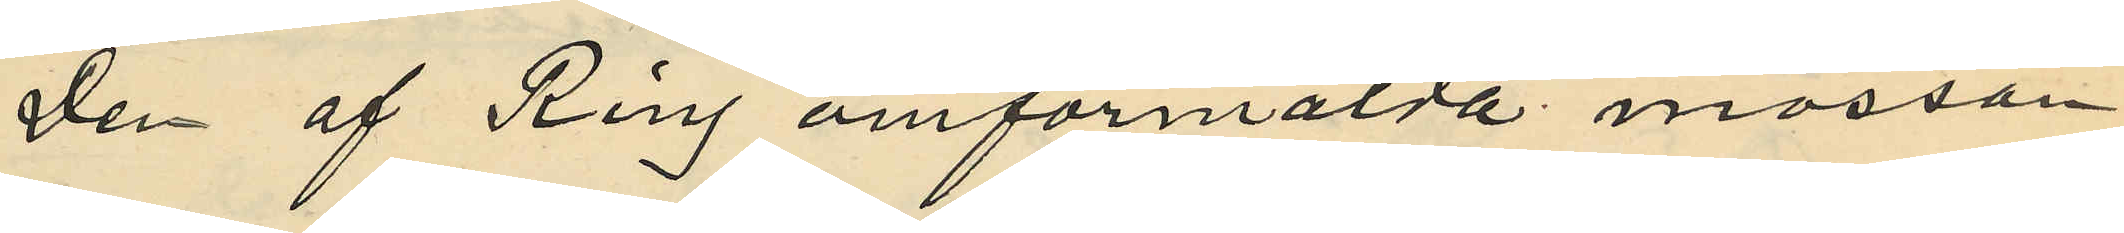Den af Ring omförmälda mössan
